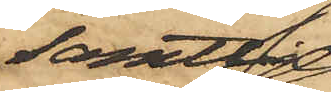samtlige
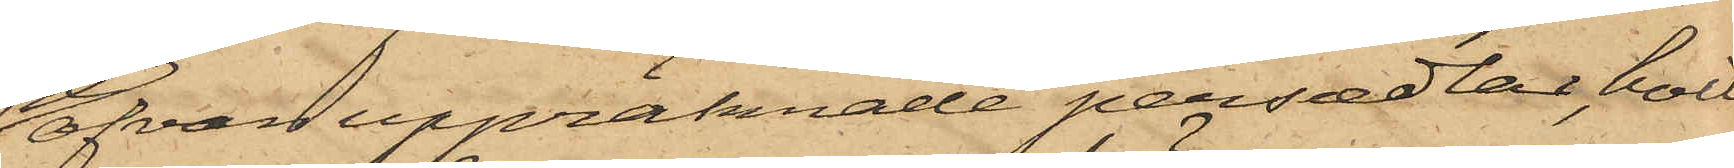ofvan uppräknade persedlar, hvil¬
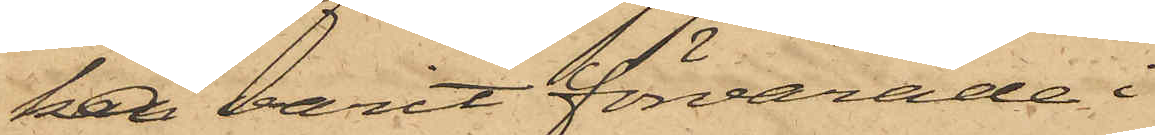ka varit förvarade i
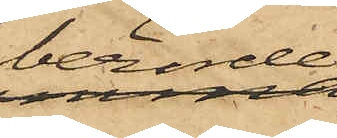berörde
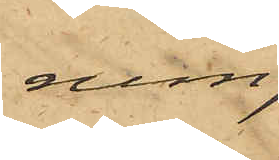rum;
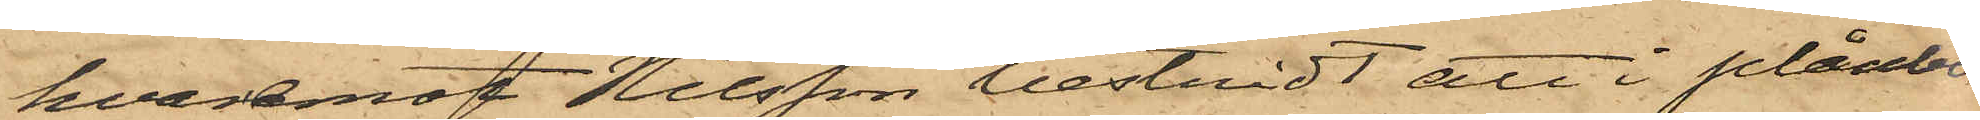hvaremot Nilsson bestridt att i plånbo¬
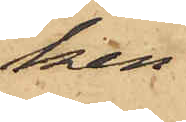ken
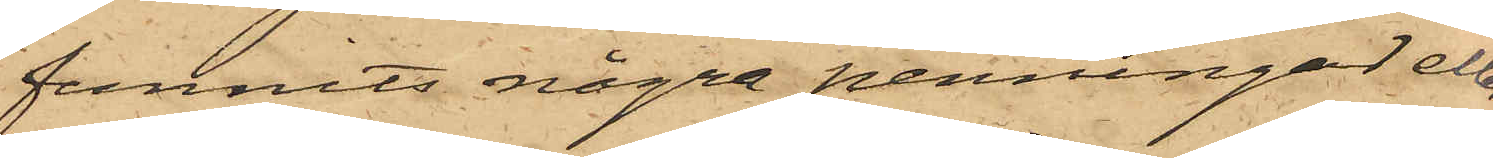funnits några penningar eller
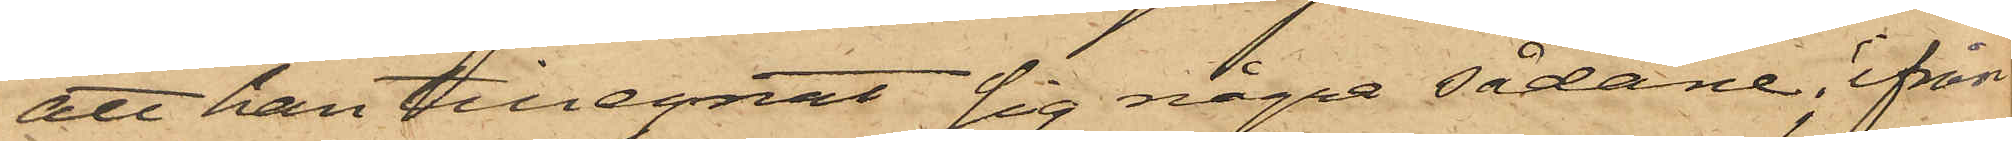att han tillegnat sig några sådane; ifrån
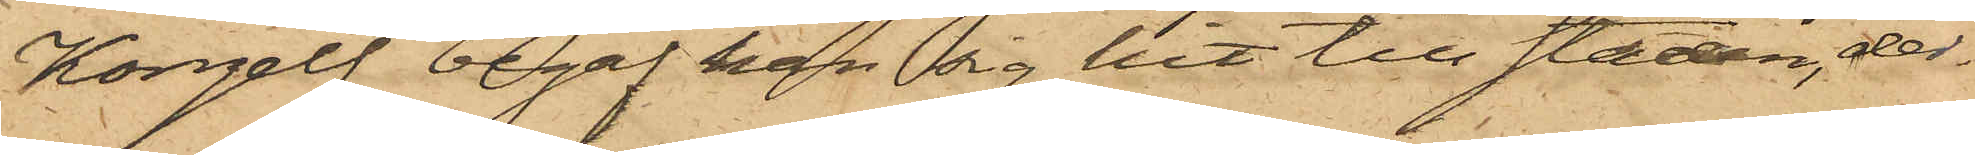Kongelf begaf han sig hit till Staden, der¬
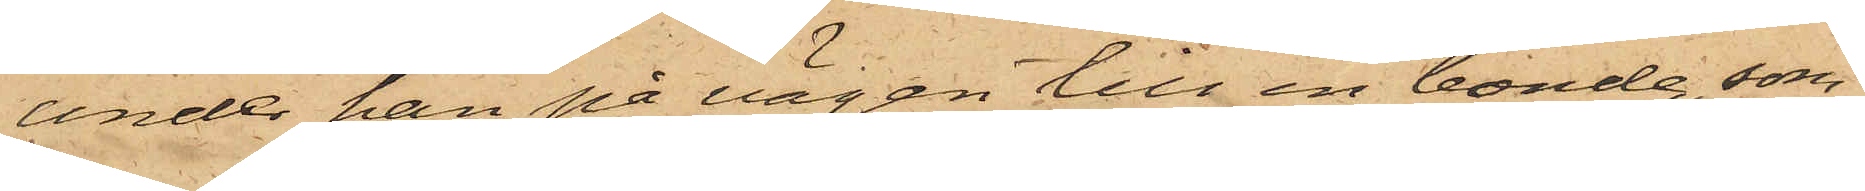under han på vägen till en bonde, som
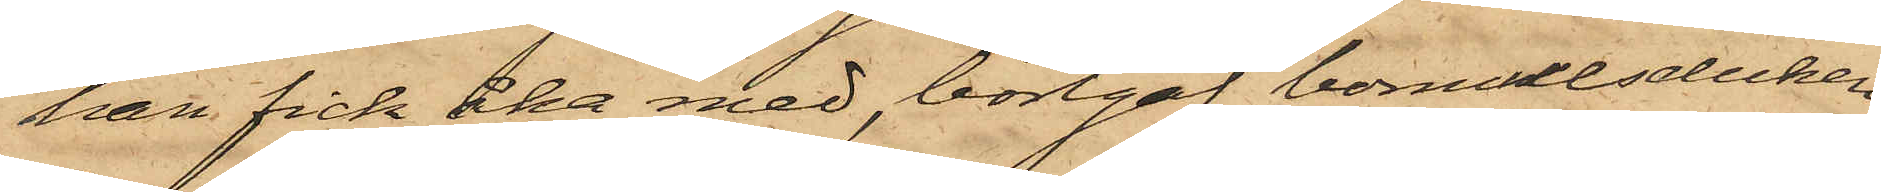han fick åka med, bortgaf bomullsduken;
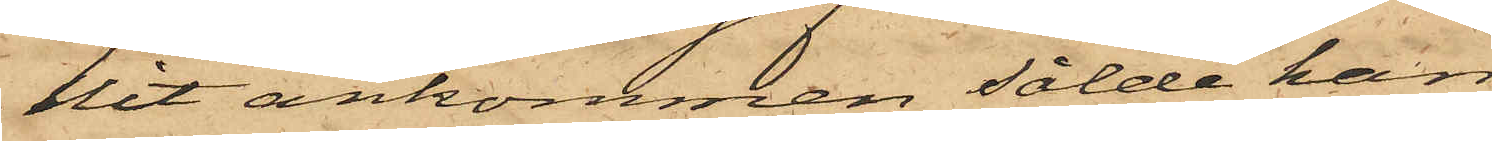hit ankommen sålde han
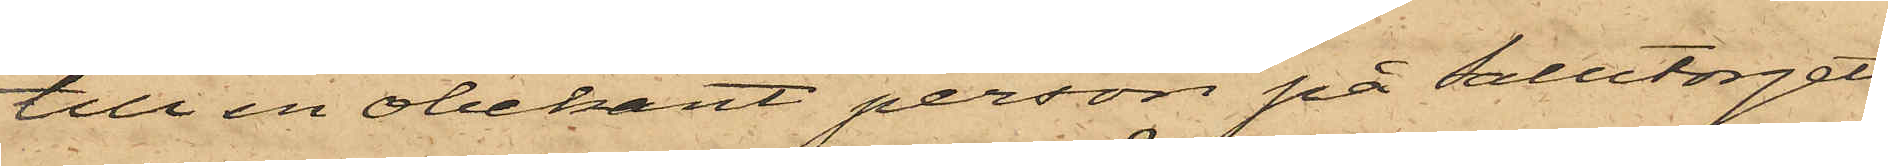till en obekant person på Salutorget
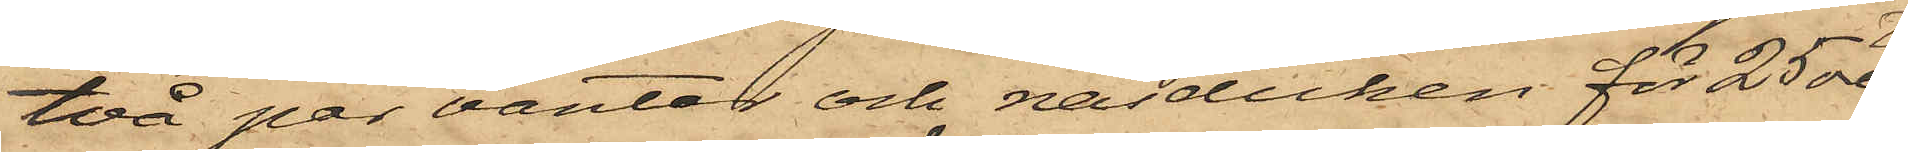två par vantar och näsduken för 25 öre
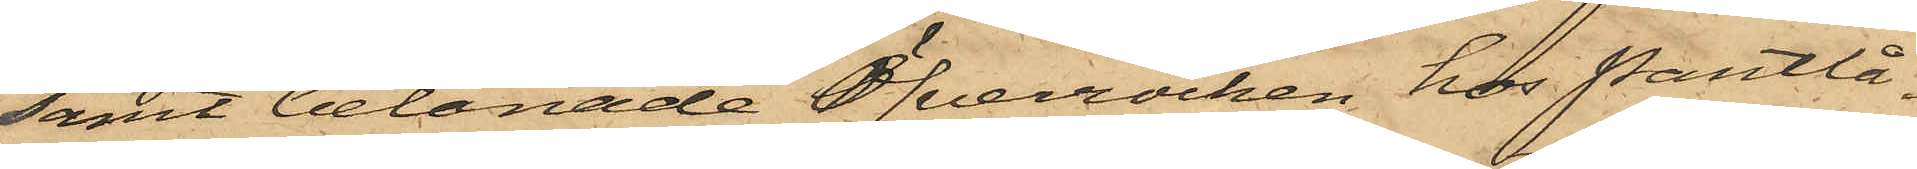samt belånade Öfverrocken hos Pantlå¬
